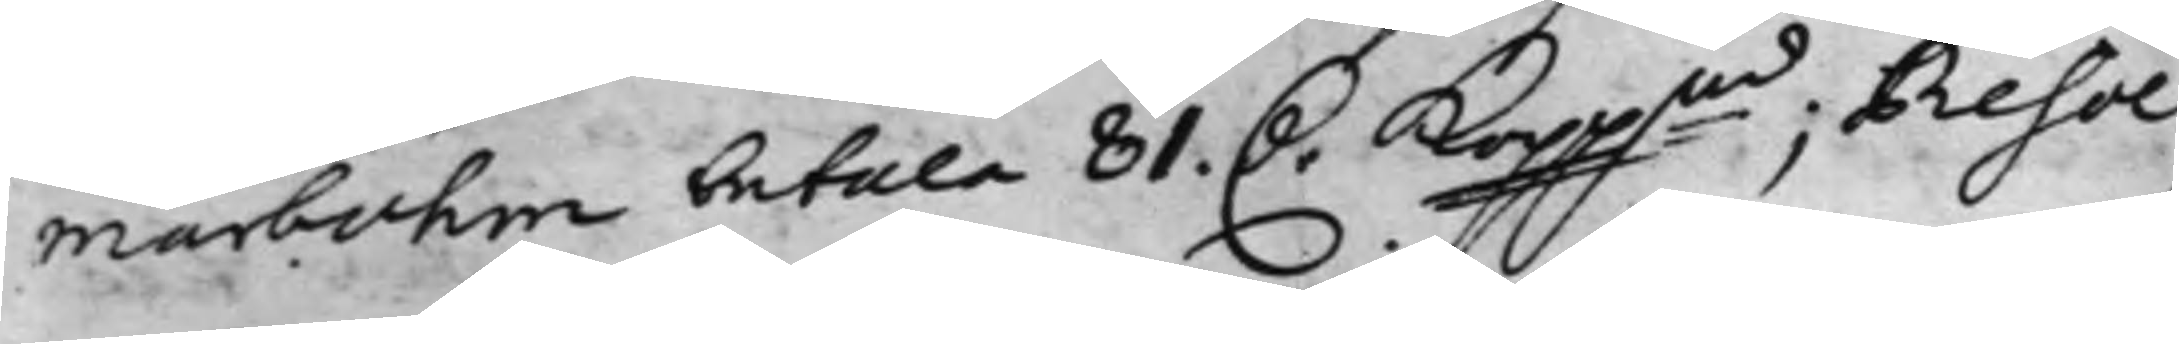marbohm betala 81. D.r Koppmt; Resol¬
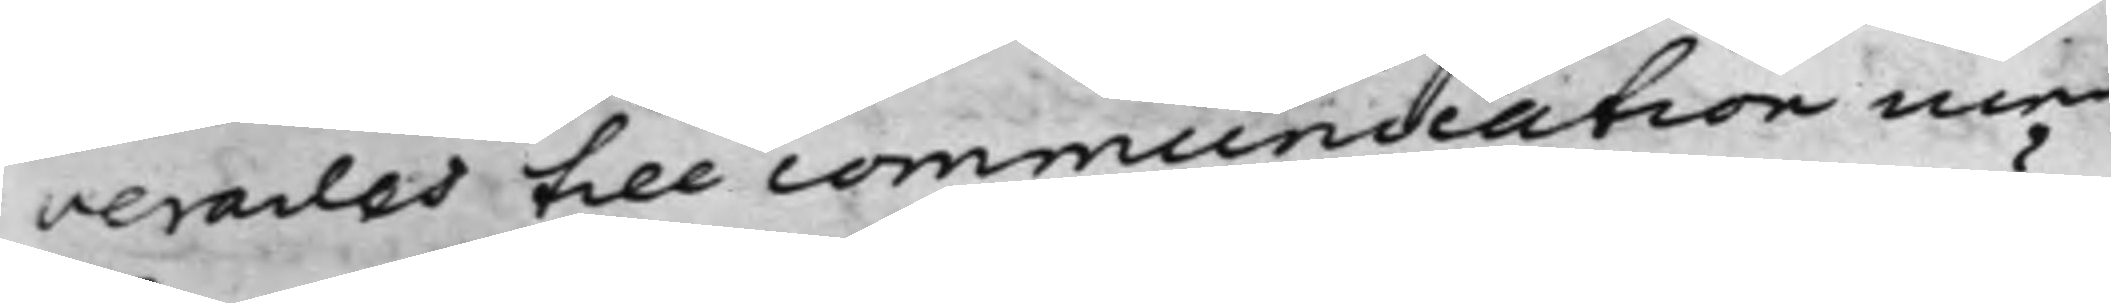verades till commundation med
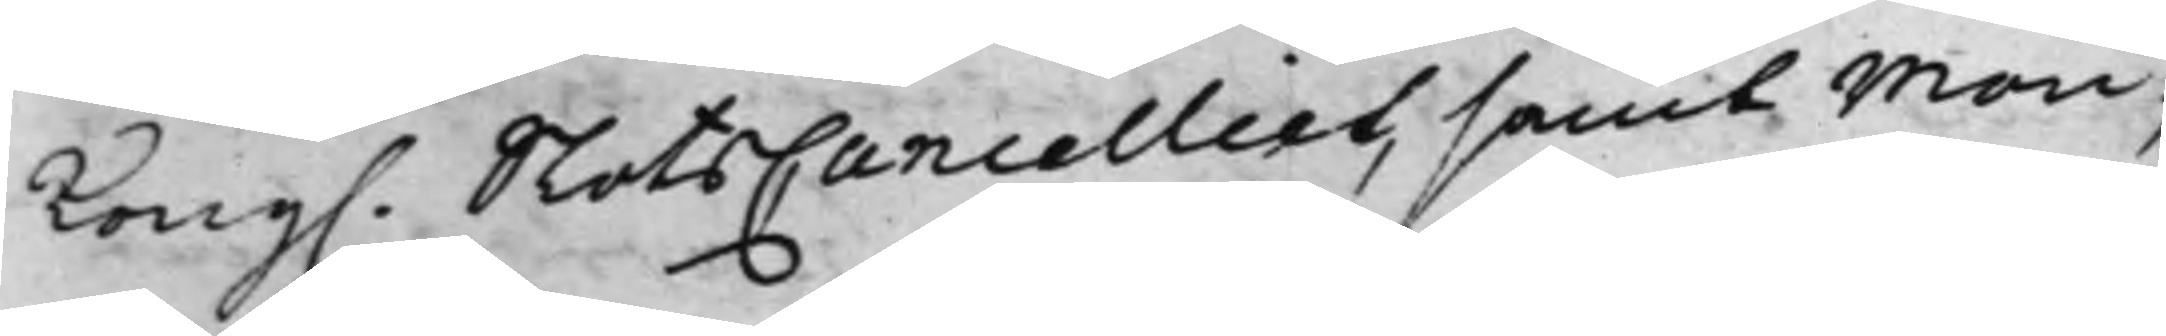Kong. SlotsCancelliet, samt Mön¬
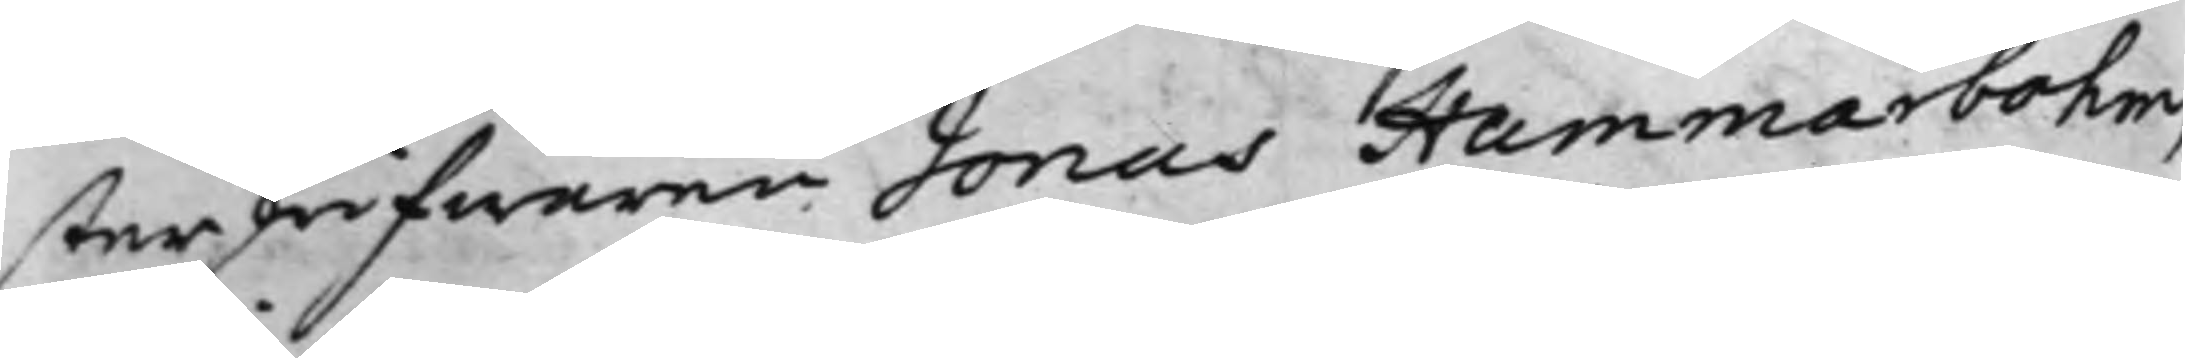sterhröfwaren Jonas Hammarbohm,
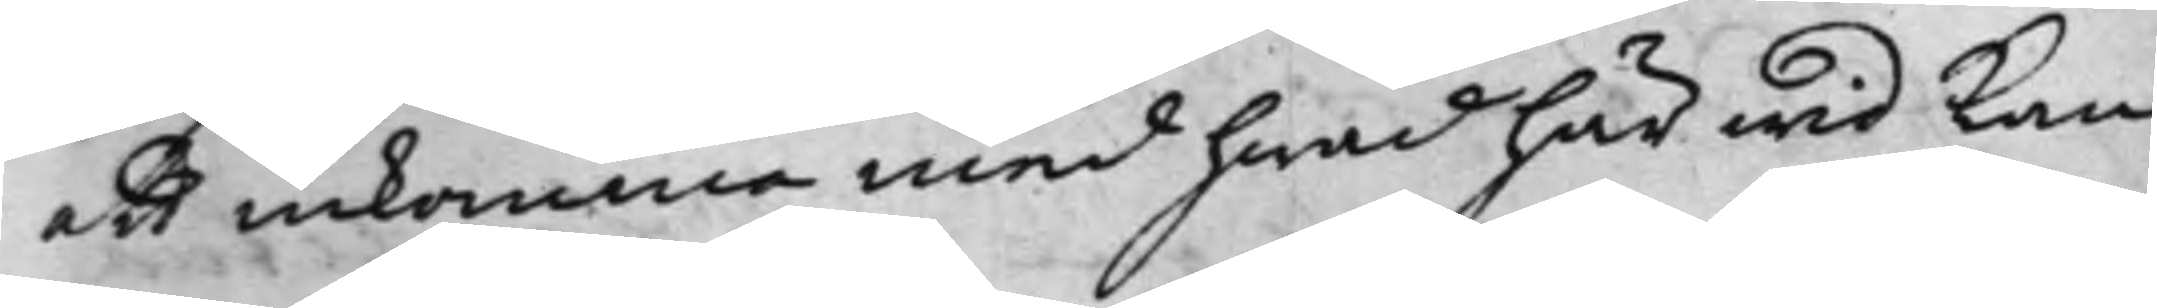att inkomma med hwad härwid kan
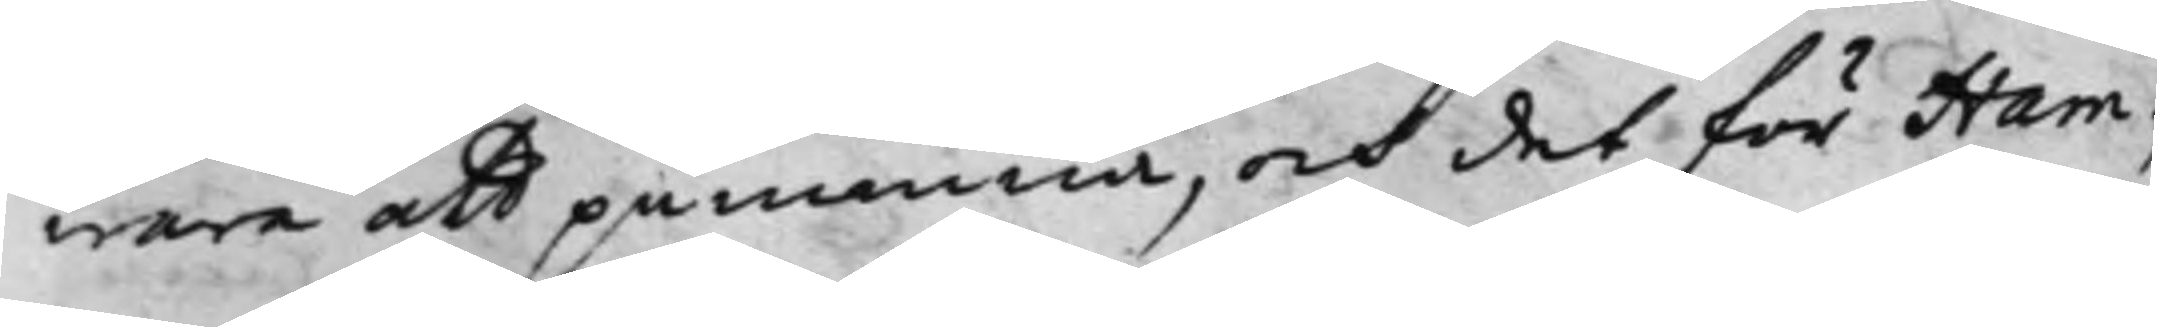wara att påminna, och det för Ham¬
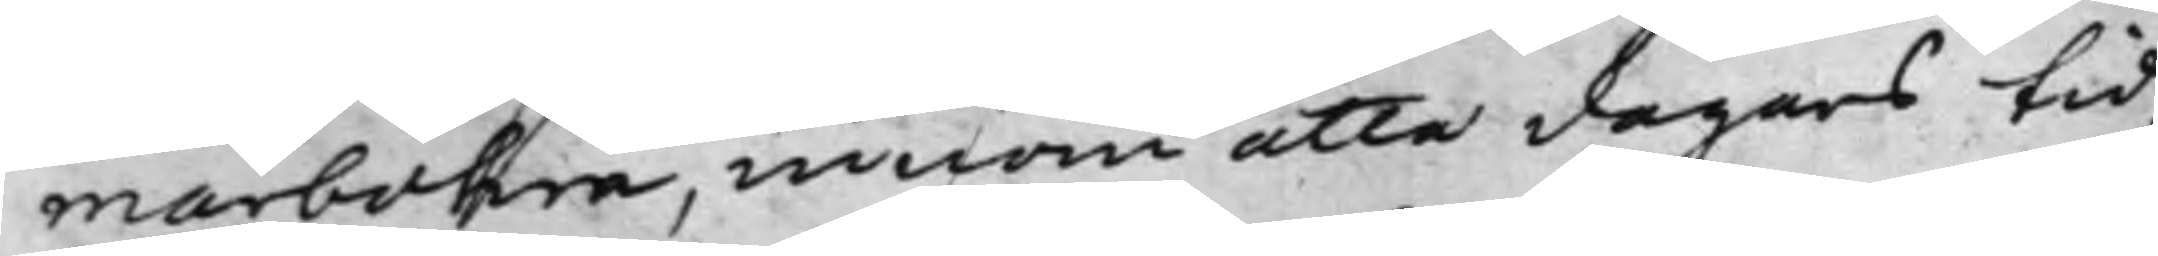marbohm, innom åtta dagars tid,
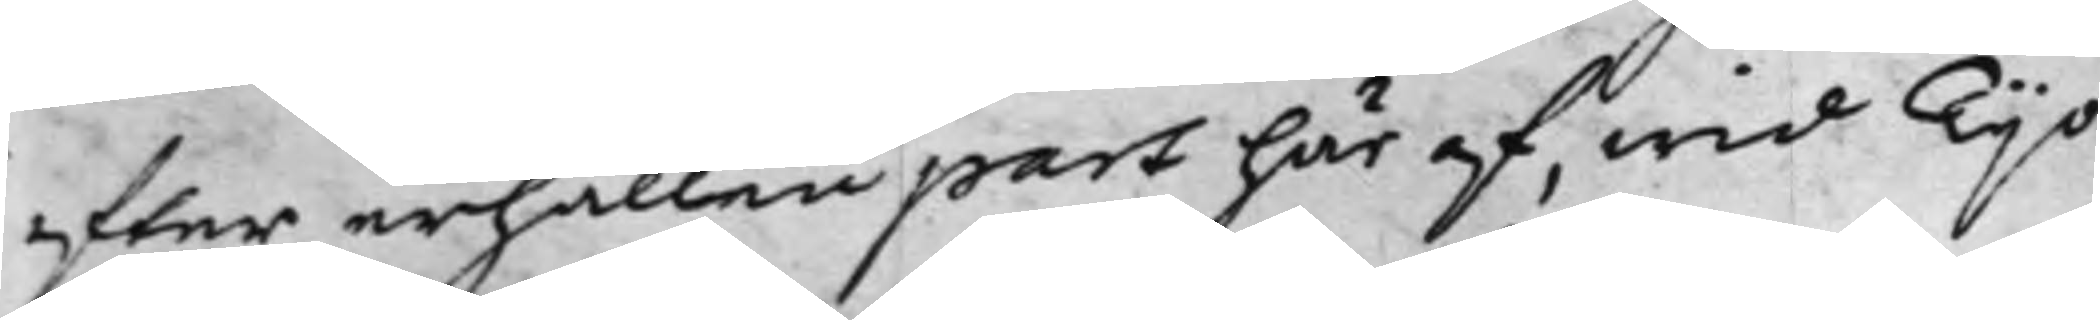effter erhållen part här af, wid Tijo
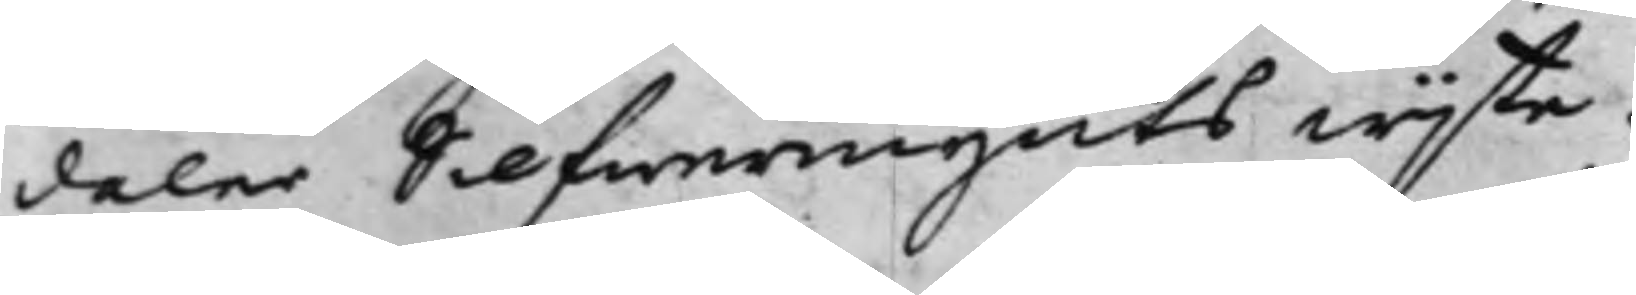daler Silfwermynts wijte.
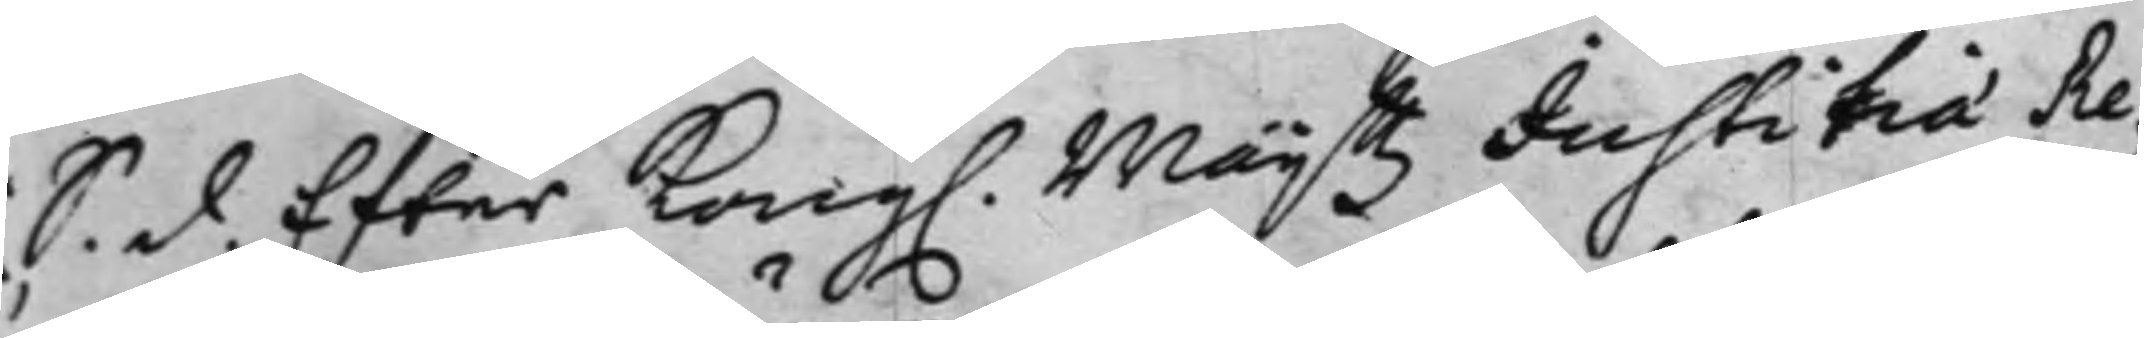S. d. Effter Kong. Maijttz Justitiæ Re¬
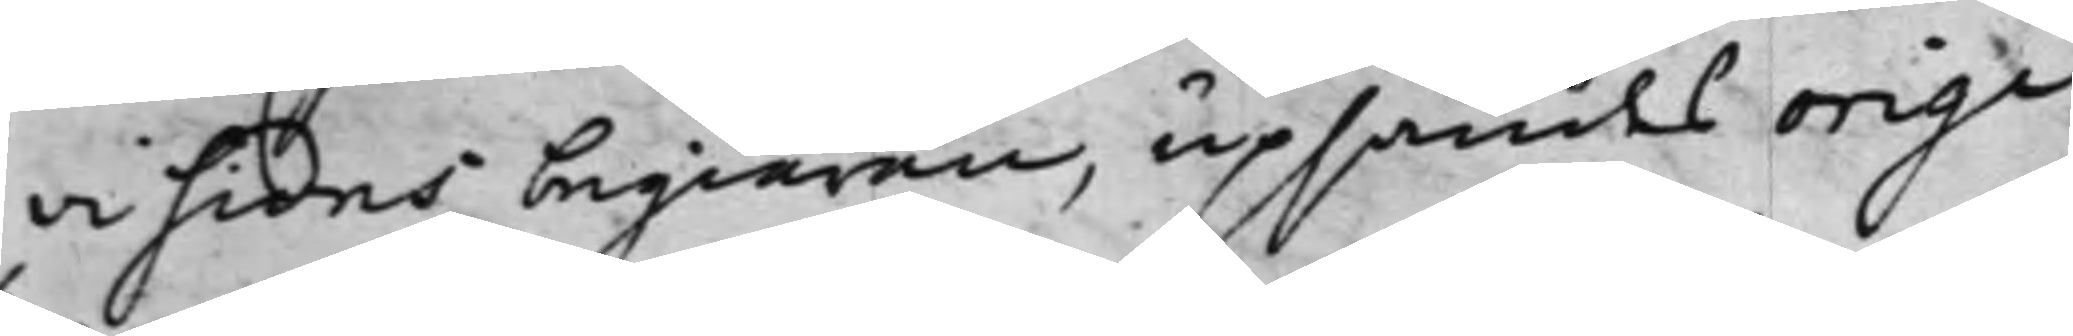visions begiäran, upsändes origi¬
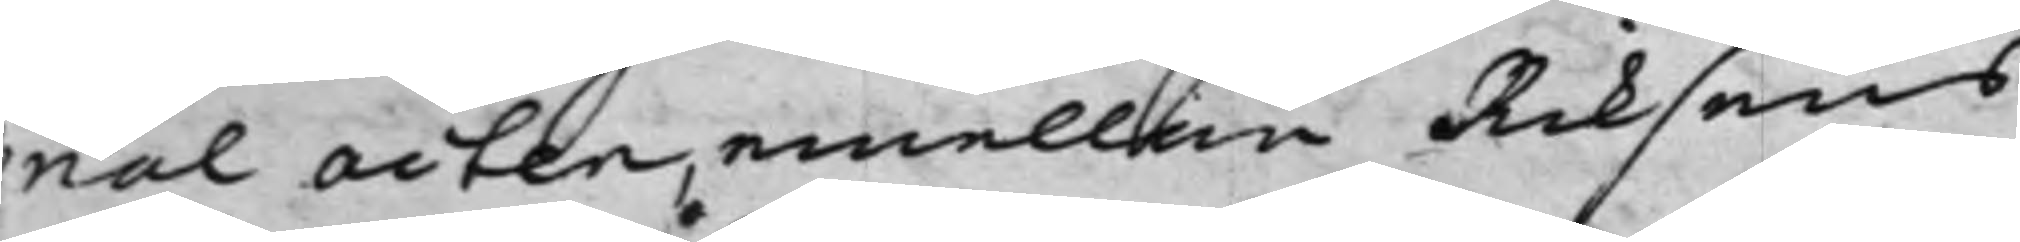nal acten, emellan Riksens
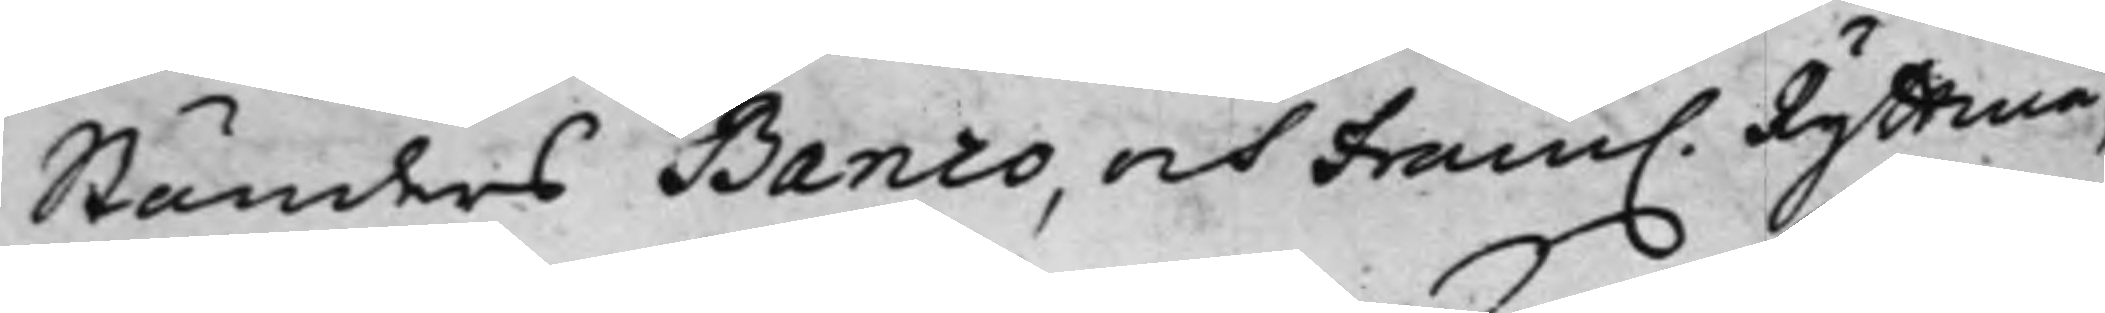Ständers Banco, och fram. Ryttmä¬
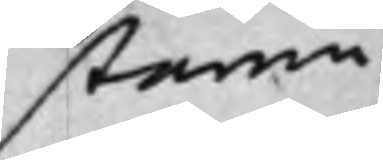staren
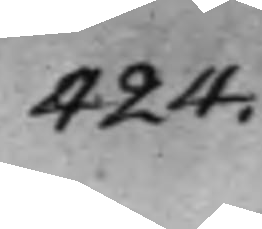424.
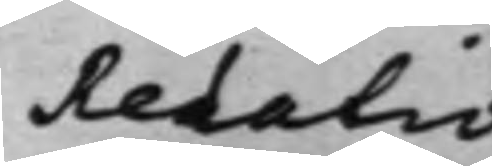Redatio
